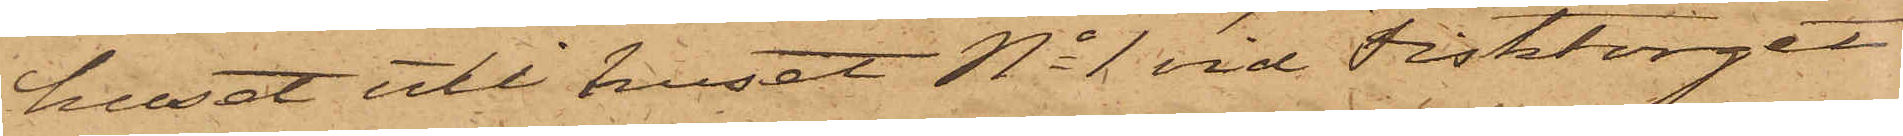huset uti huset No 1 vid Fisktorget
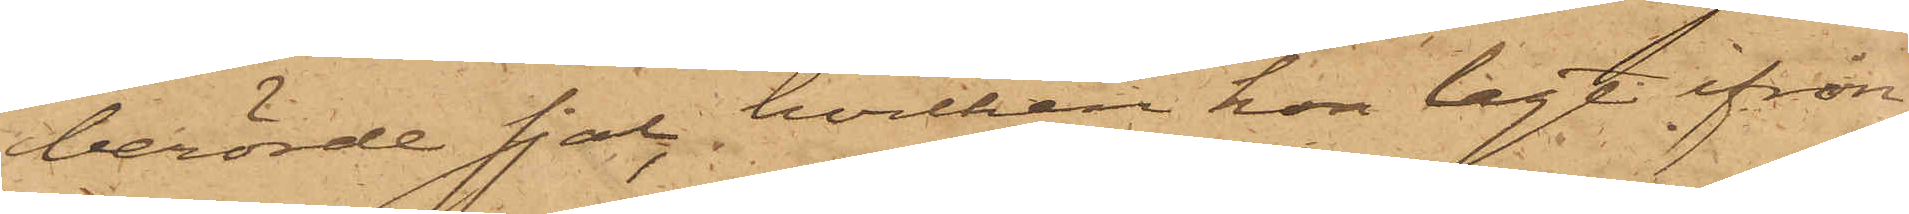berörde sjal, hvilken hon lagt ifrån
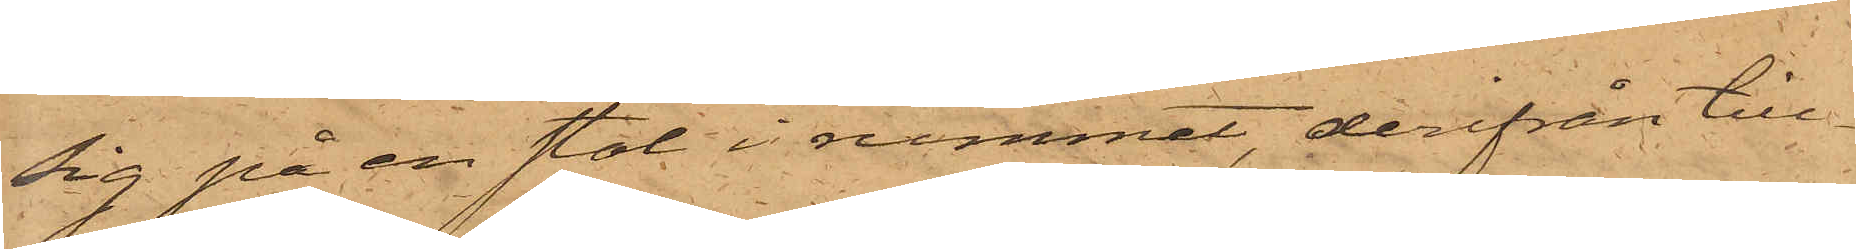sig på en stol i rummet, derifrån till¬
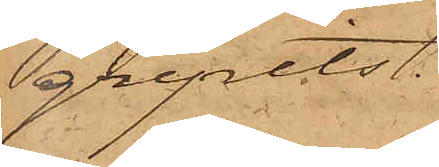gripits.
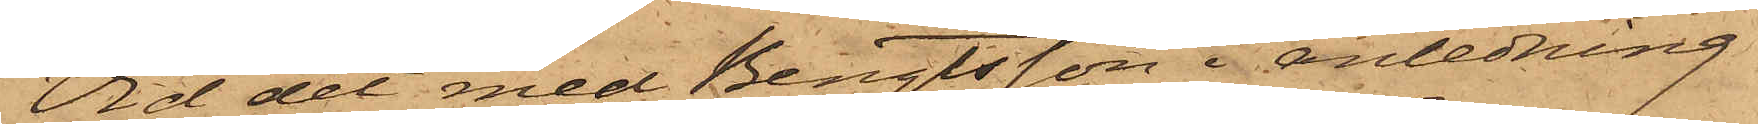Vid det med Bengtsson i anledning
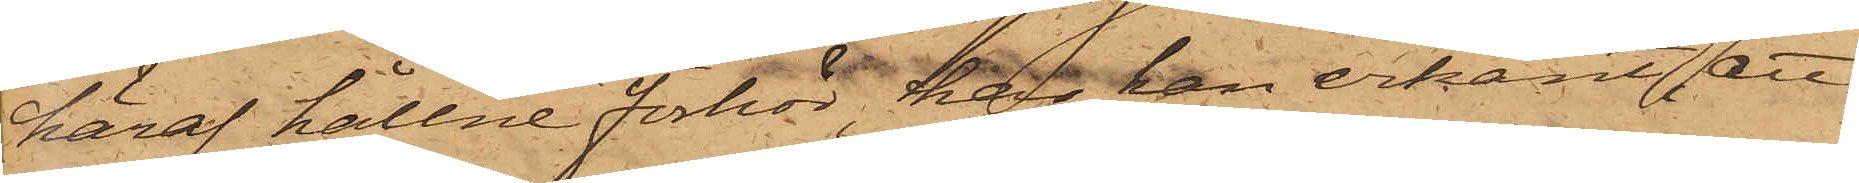häraf hållne förhör, har han erkänt, att
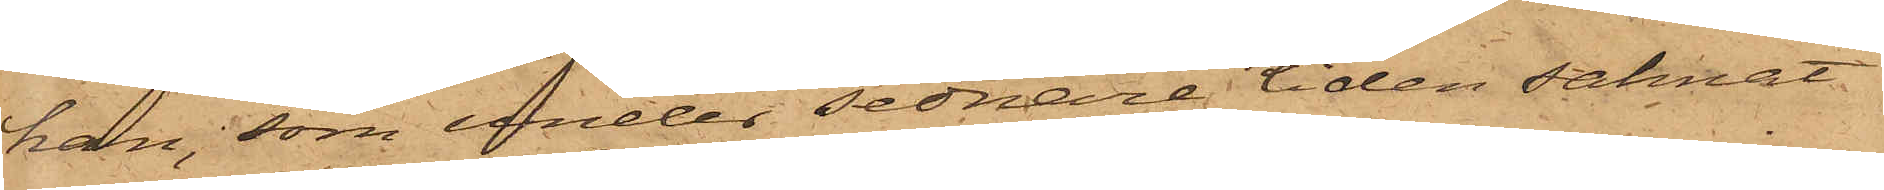han, som under sednare tiden saknat
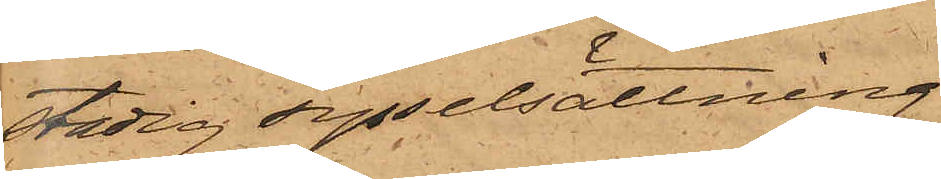stadig sysselsättning
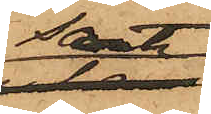samt
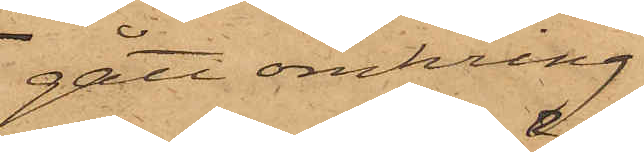gått omkring
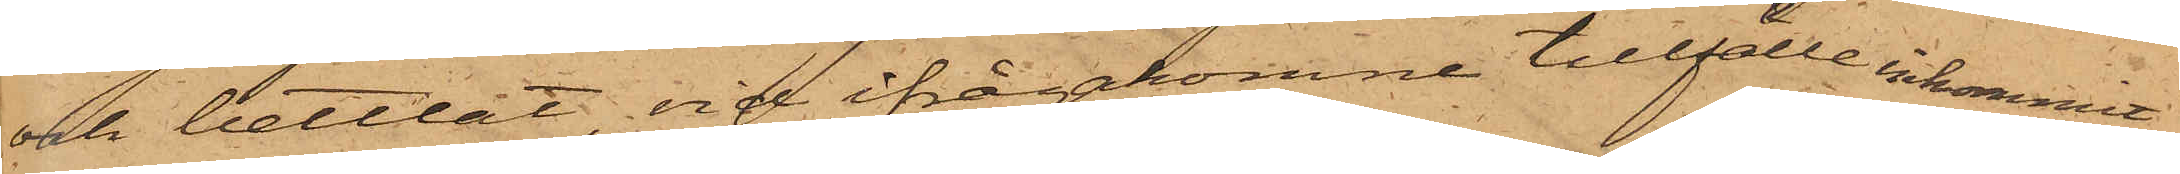och bettlat, vid ifrågakomne tillfälle inkommit
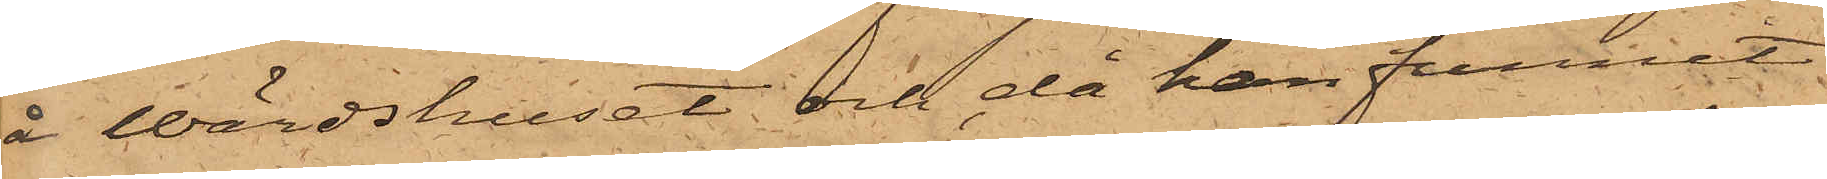å Wärdshuset och, då han funnit
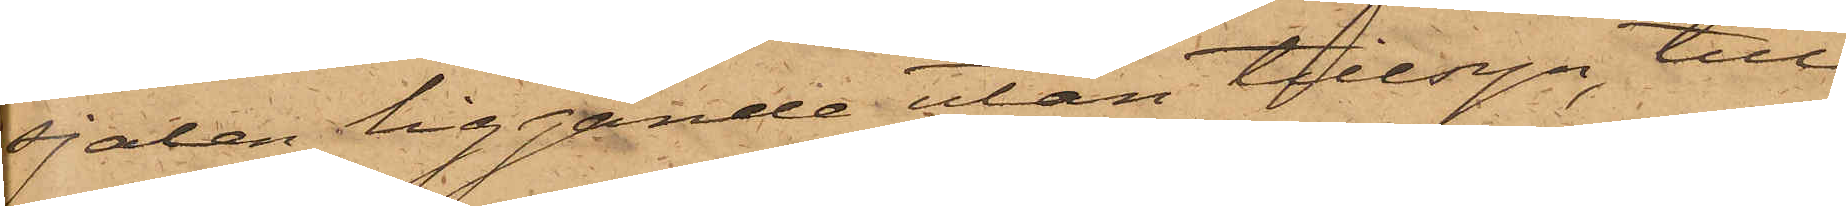sjalen liggande utan tillsyn, till¬
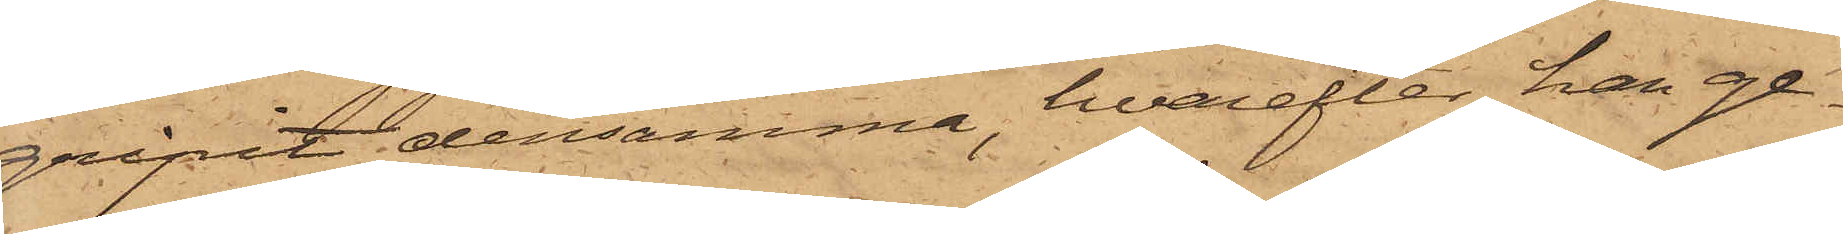gripit densamma, hvarefter han ge¬
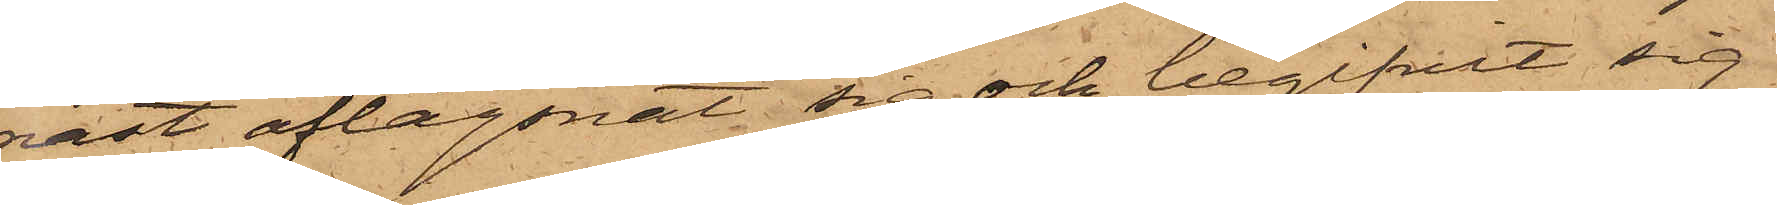nast aflägsnat sig och begifvit sig
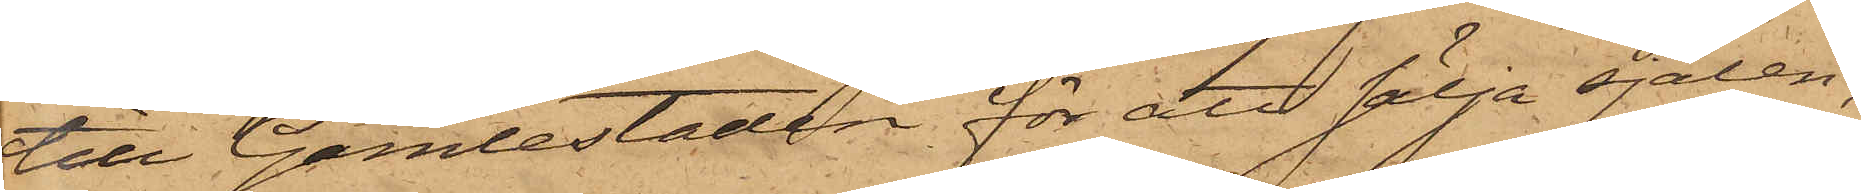till Gamlestaden för att sälja sjalen,
